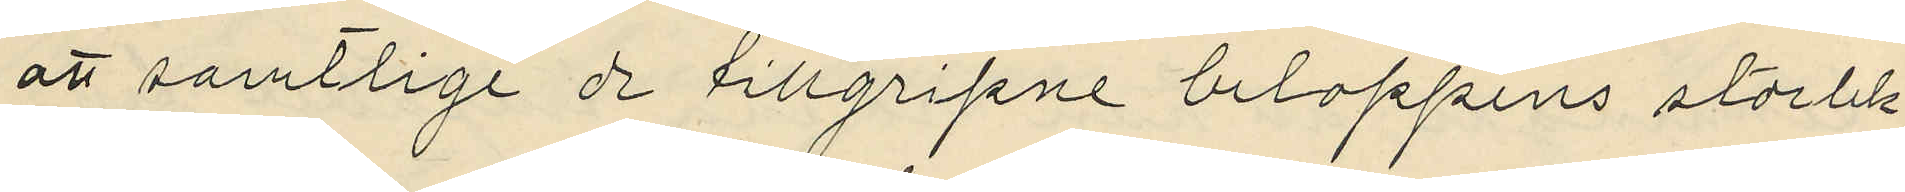att samtlige de tillgripne beloppens storlek
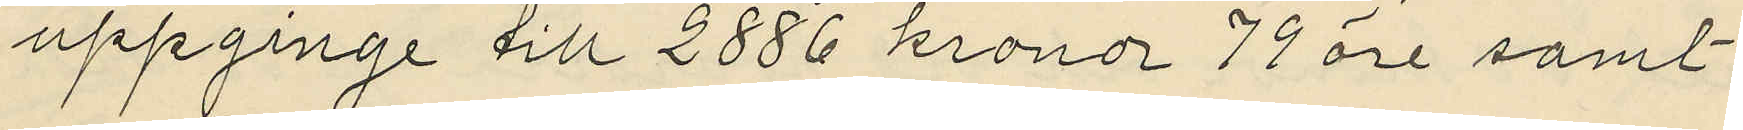uppginge till 2886 kronor 79 öre samt
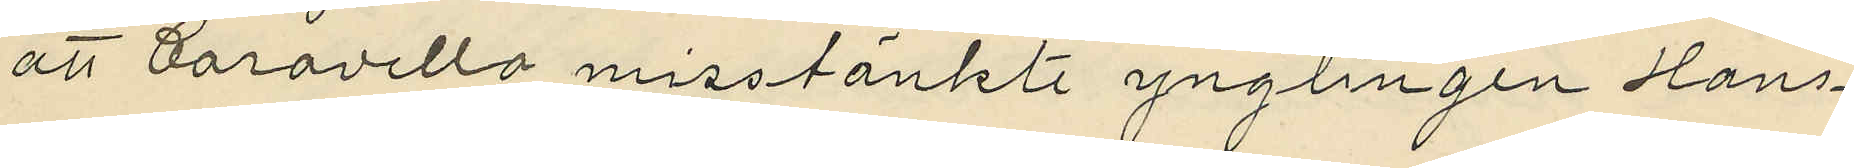att Caravello misstänkte ynglingen Hans¬
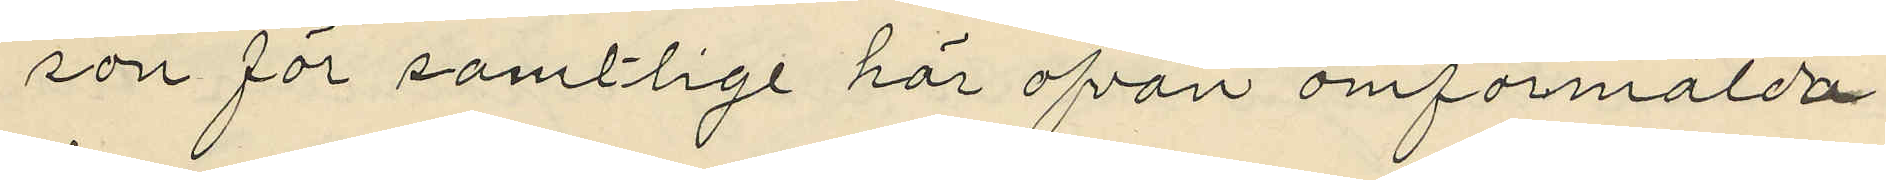son för samtlige här ofvan omförmälda
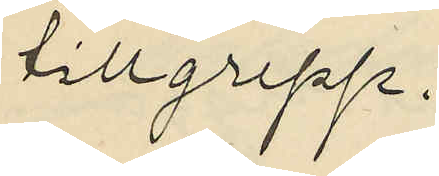tillgrepp.
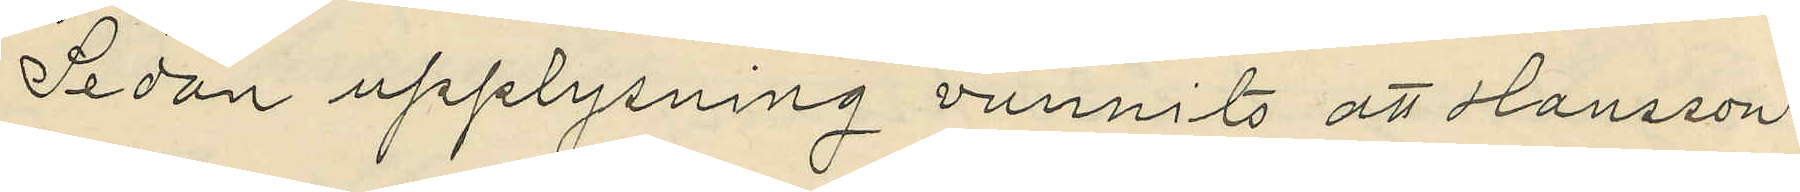Sedan upplysning vunnits att Hansson
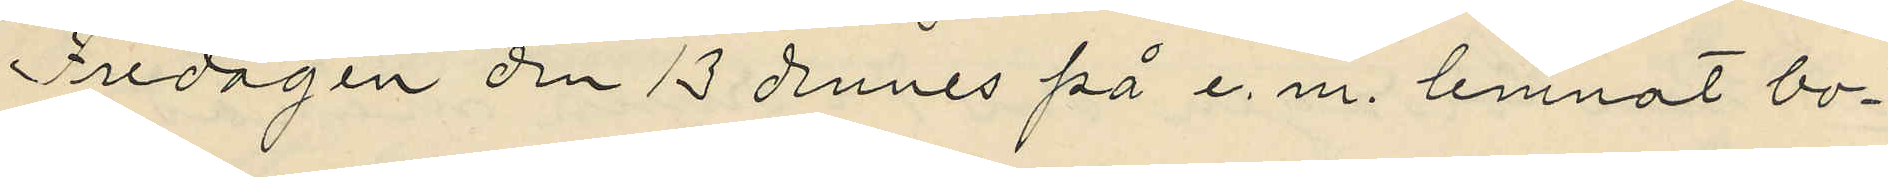Fredagen den 13 dennes på e. m. lemnat bo¬
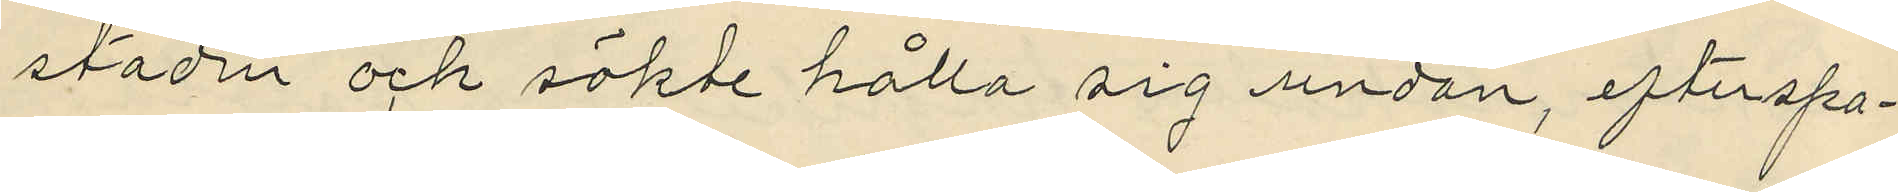staden och sökte hålla sig undan, efterspa¬
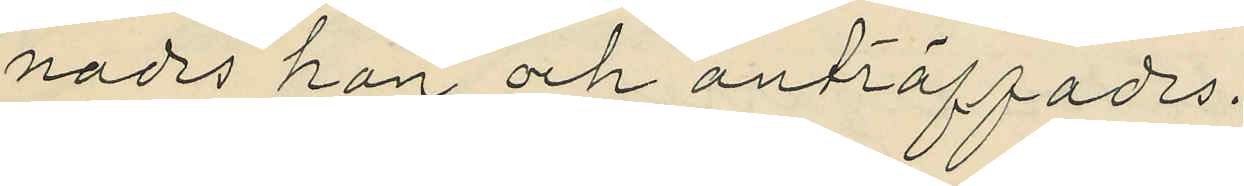nades han och anträffades.
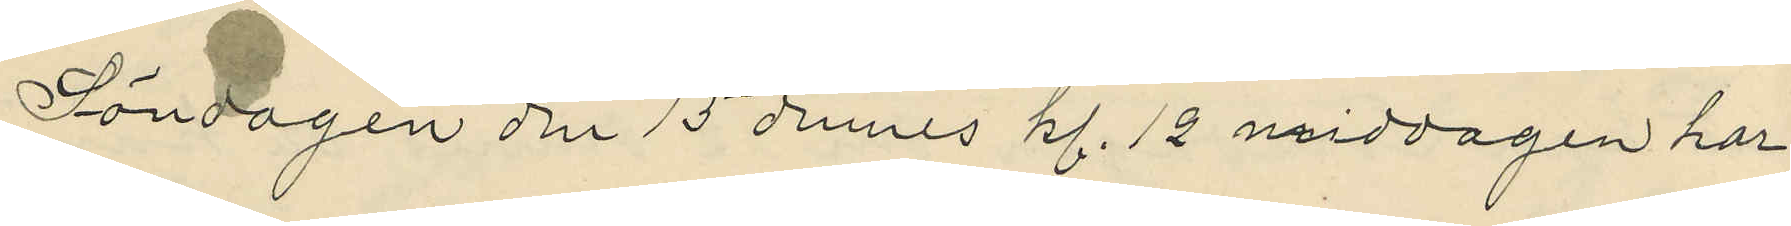Söndagen den 15 dennes kl. 12 middagen har
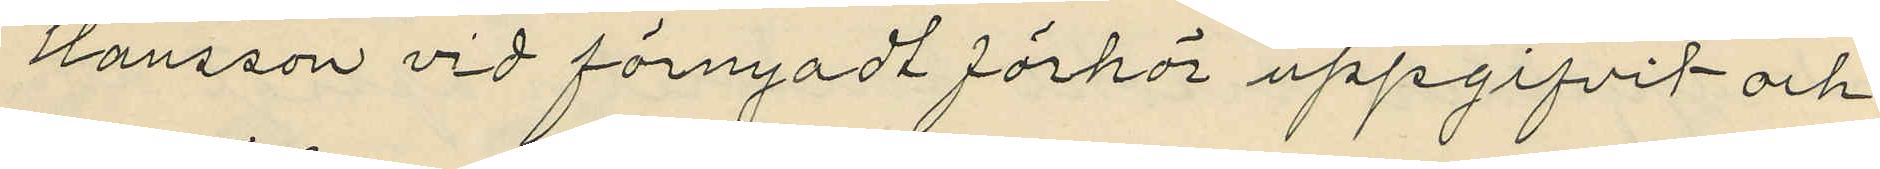Hansson vid förnyadt förhör uppgifvit och
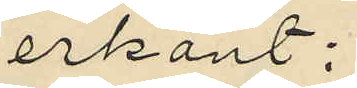erkänt:
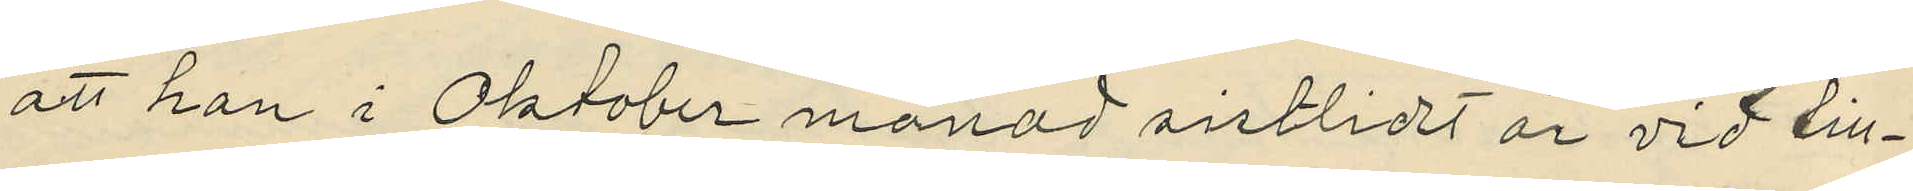att han i Oktober månad sistlidet år vid till¬
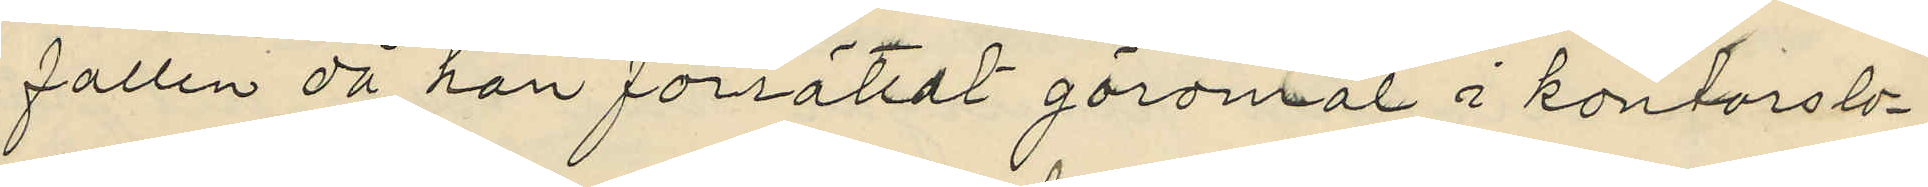fallen då han förrättat göromål i kontorslo¬
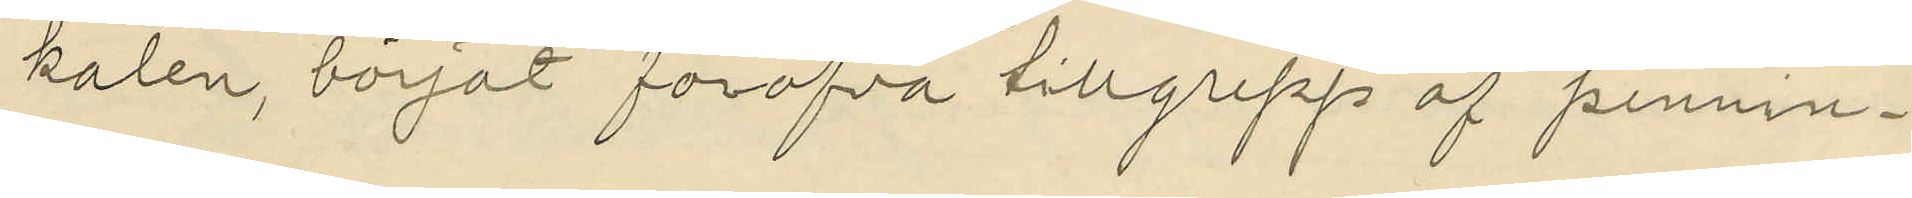kalen, börjat föröfva tillgrepp af pennin¬
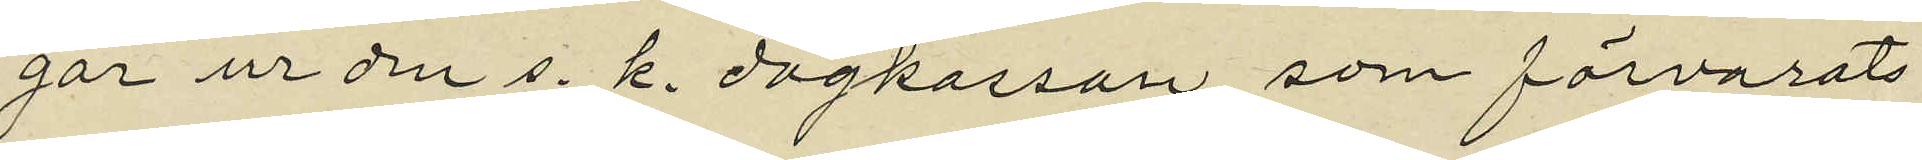gar ur den s. k. dagkassan, som förvarats
